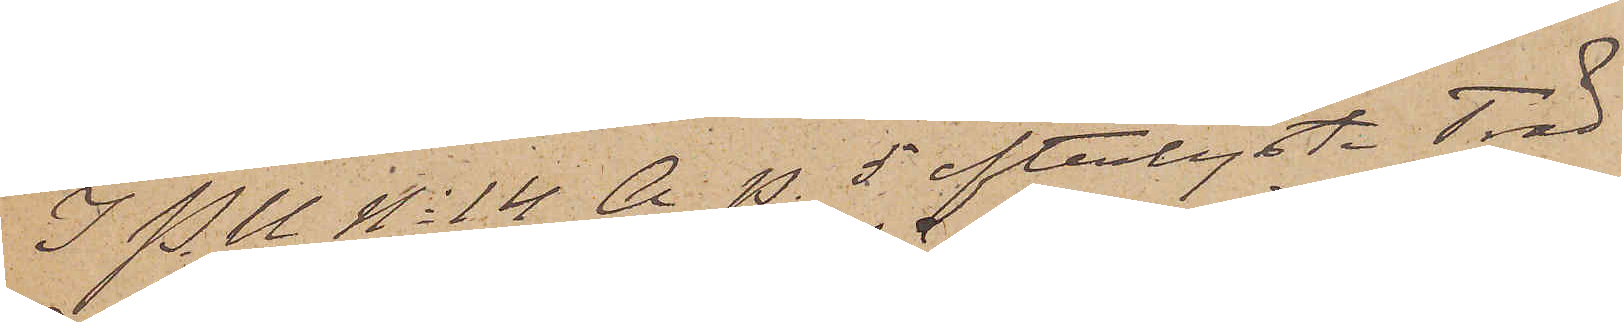I P. U No 14 A. p. 5 efterlyste Träd¬
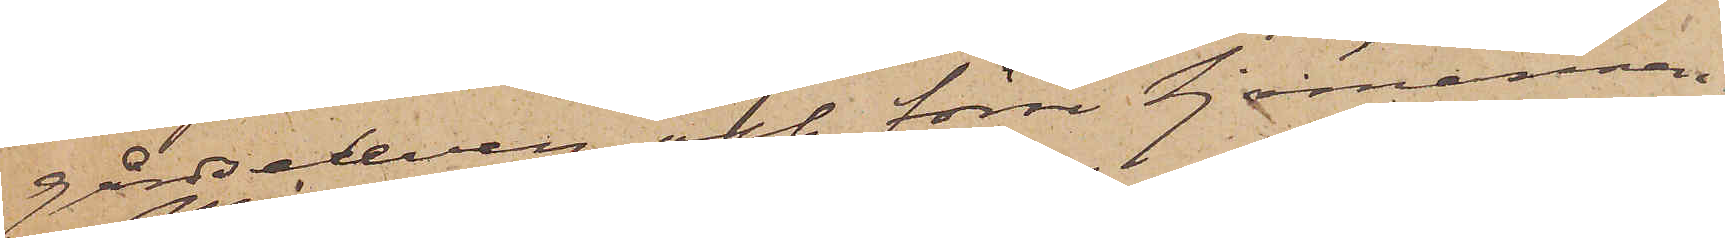gårdseleven och förre Sjömannen
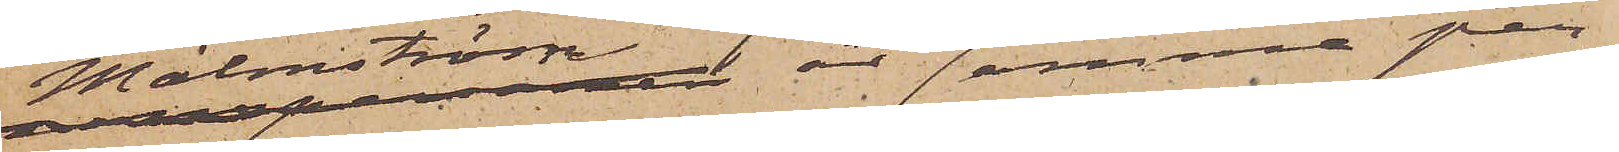Malmström är samma per¬
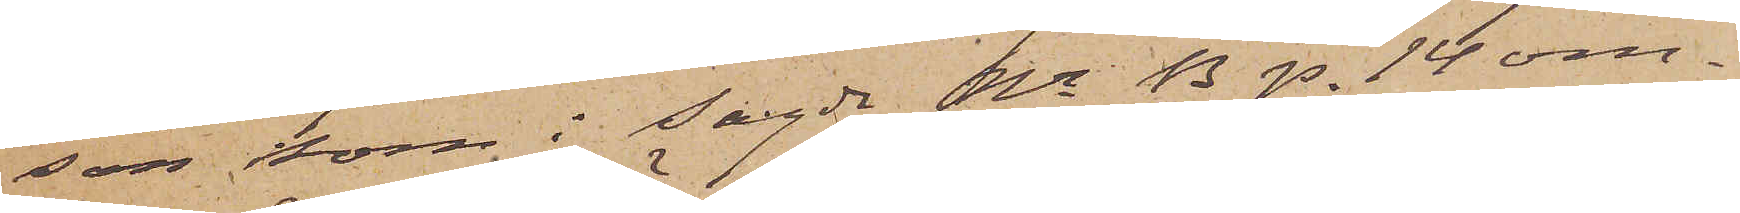son som i sagde Nr B p. 14 om¬
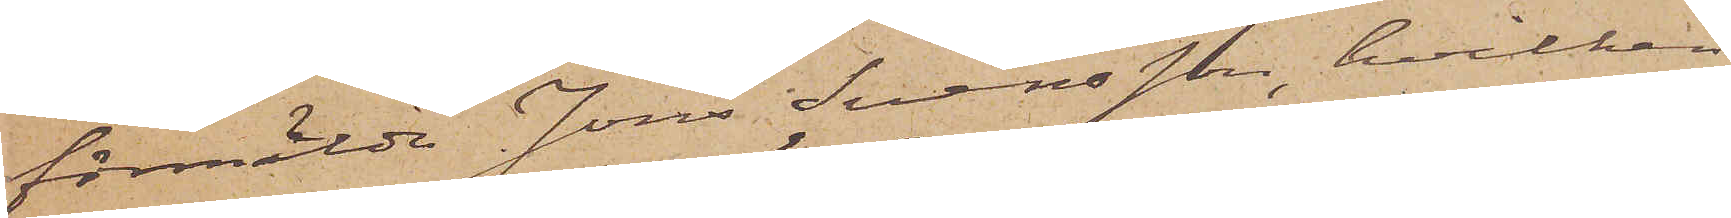förmälde Jöns Svensson, hvilken
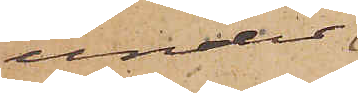under
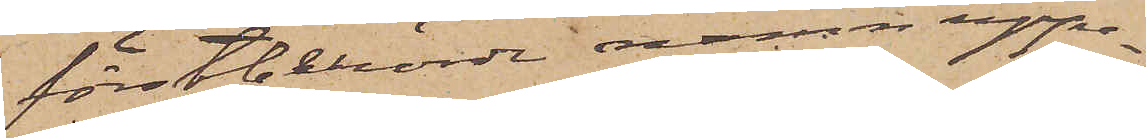förstberörde namn uppe¬
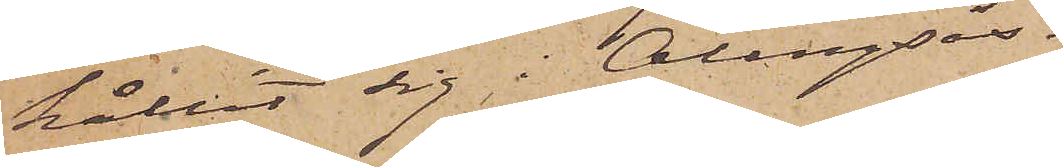hållit sig i Alingsås.
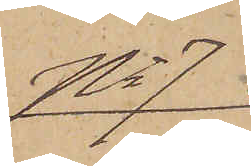No 7
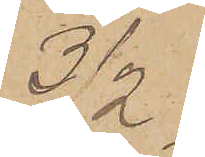3/2
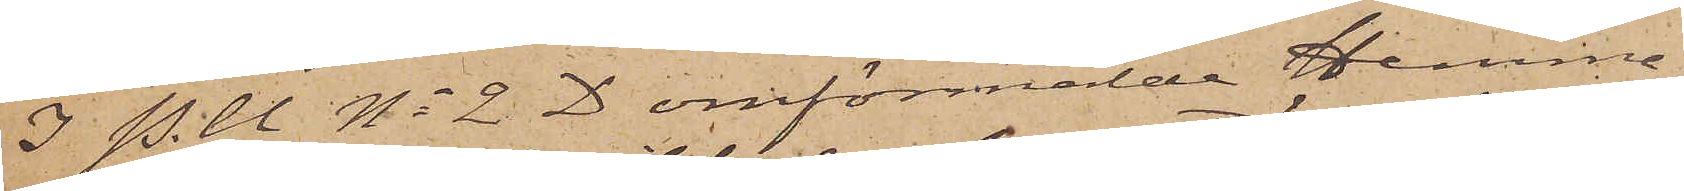I P.U No 2 D omförmälde Hemma¬
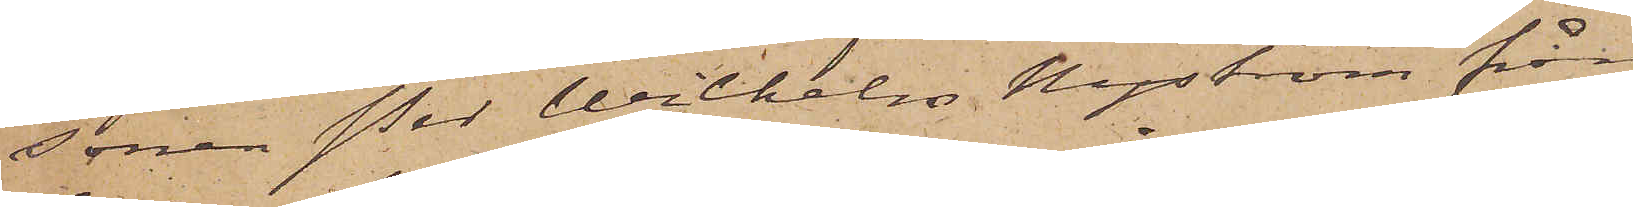sonen Per Wilhelm Nyström från
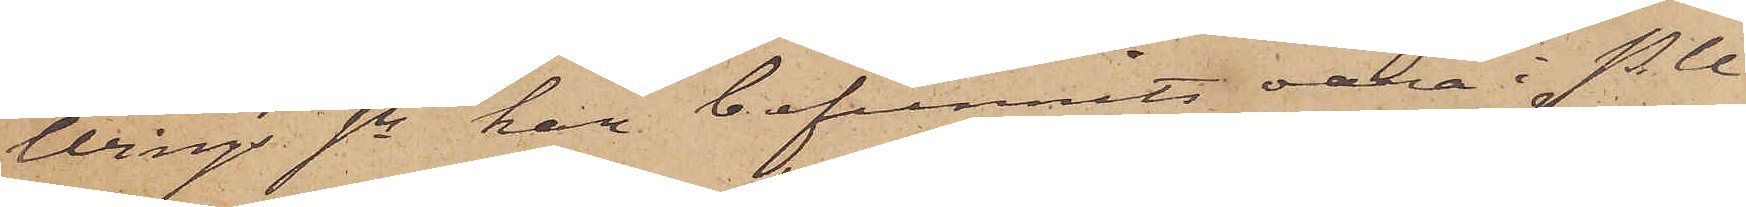Wings sn har befunnits vara i P.U
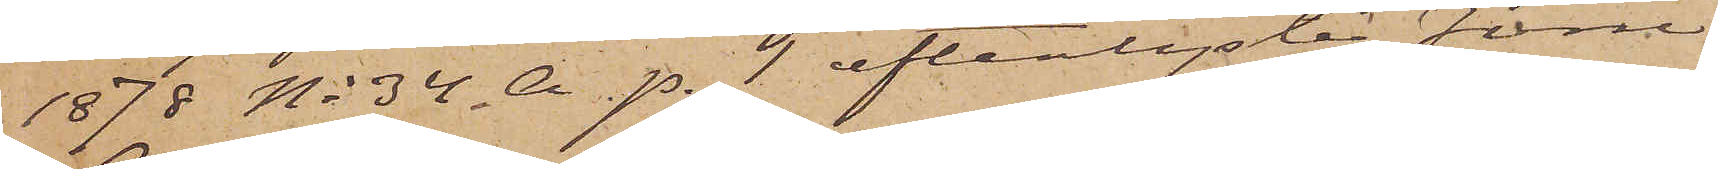1878 No 34 A p. 1 efterlyste förre
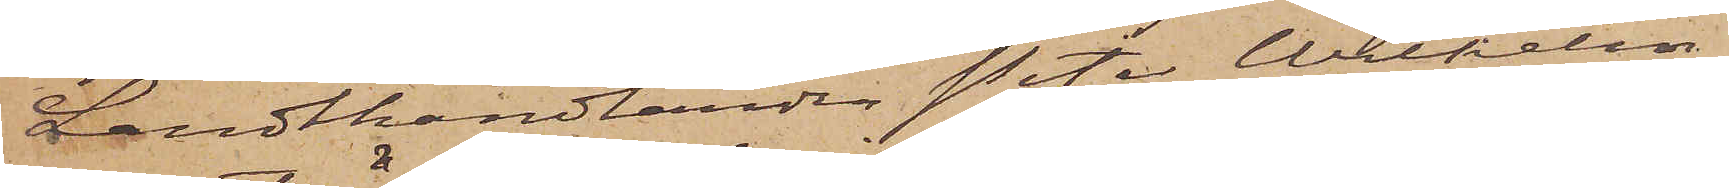Landthandlanden Peter Wilhelm
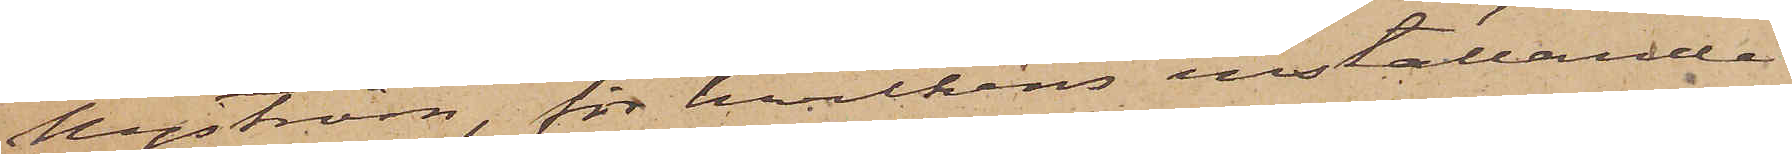Nyström, för hvilkens inställande
